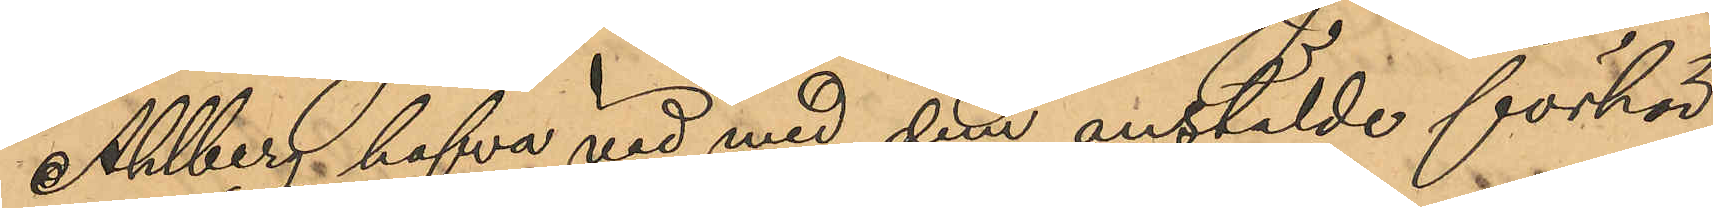Ahlberg hafva vid med dem anstälde förhör
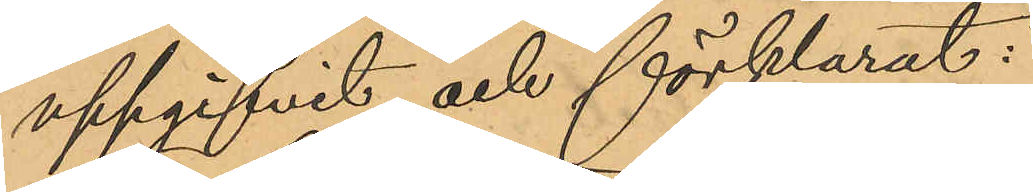uppgifvit och förklarat:
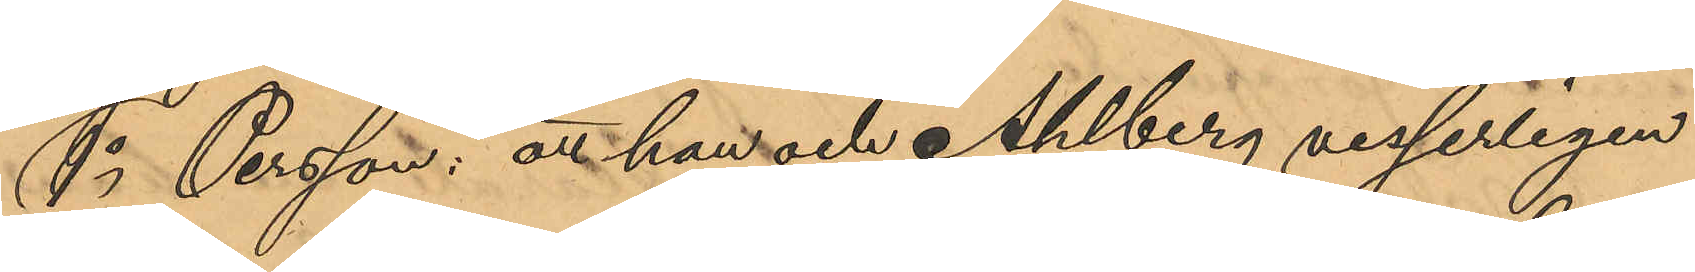1o Persson: att han och Ahlberg visserligen
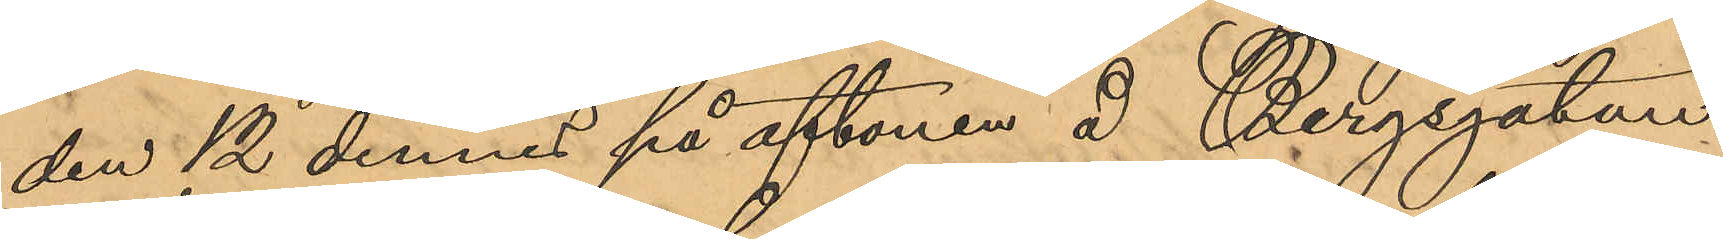den 12 dennes på aftonen å Bergsgatan,
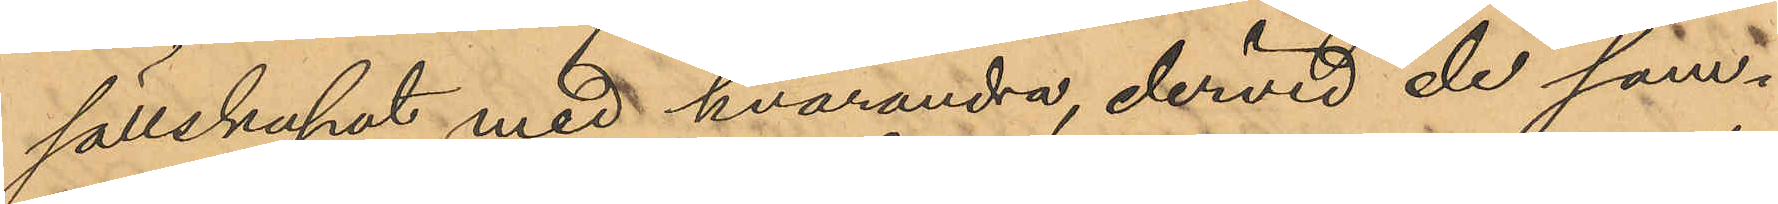sällskapat med hvarandra, dervid de sam¬
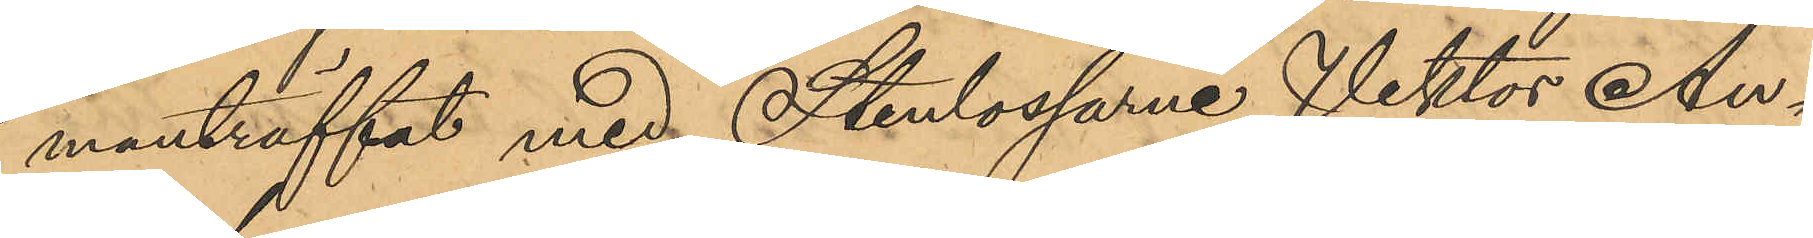manträffat med Stenlossarne Viktor An¬
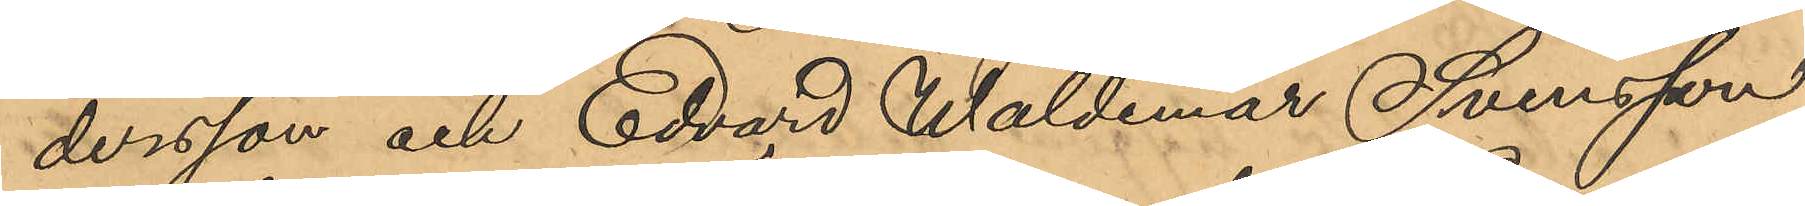dersson och Edvard Waldemar Svensson
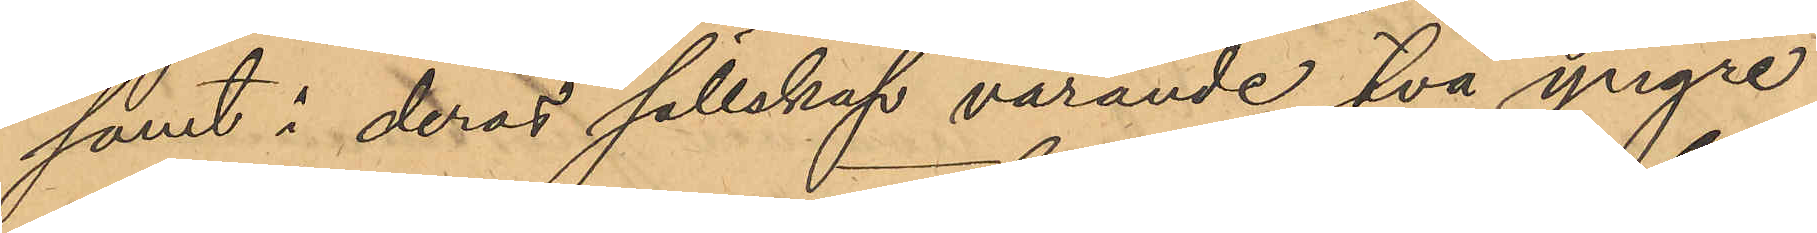samt i deras sällskap varande två yngre
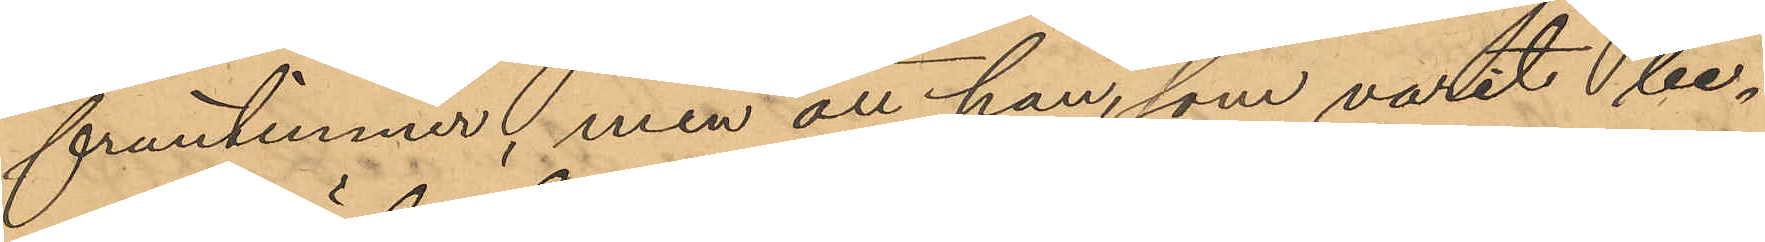fruntimmer, men att han, som varit be¬
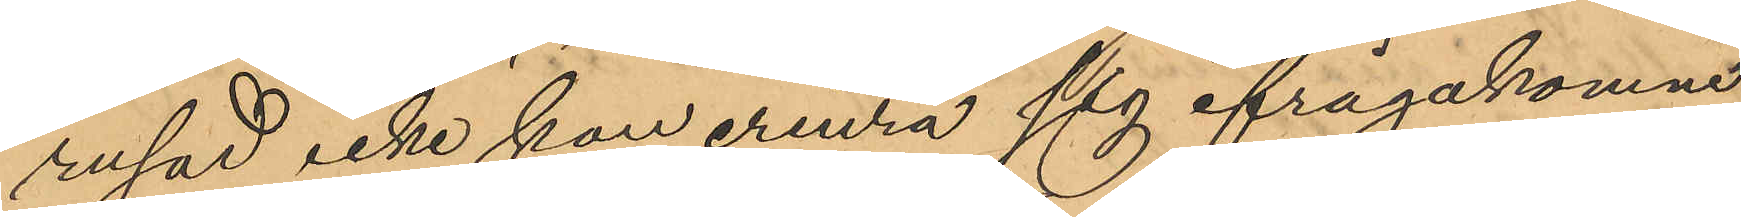rusad icke kan erinra sig ifrågakomne
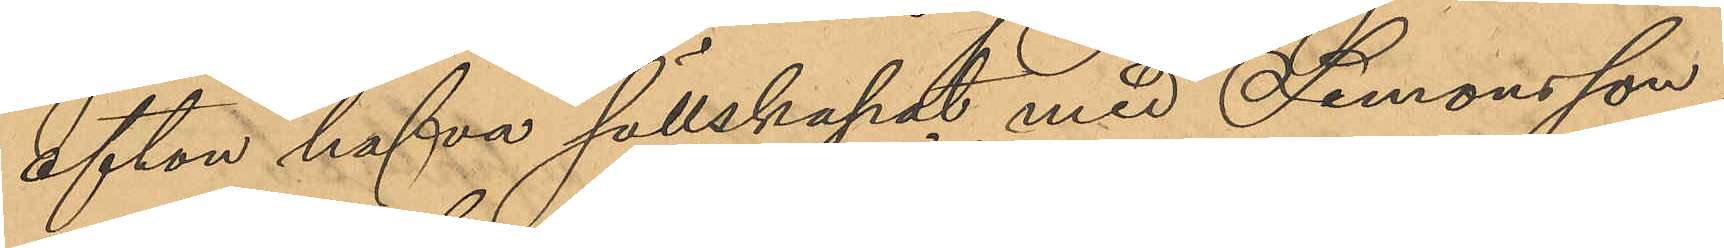afton hafva sällskapat med Simonsson,
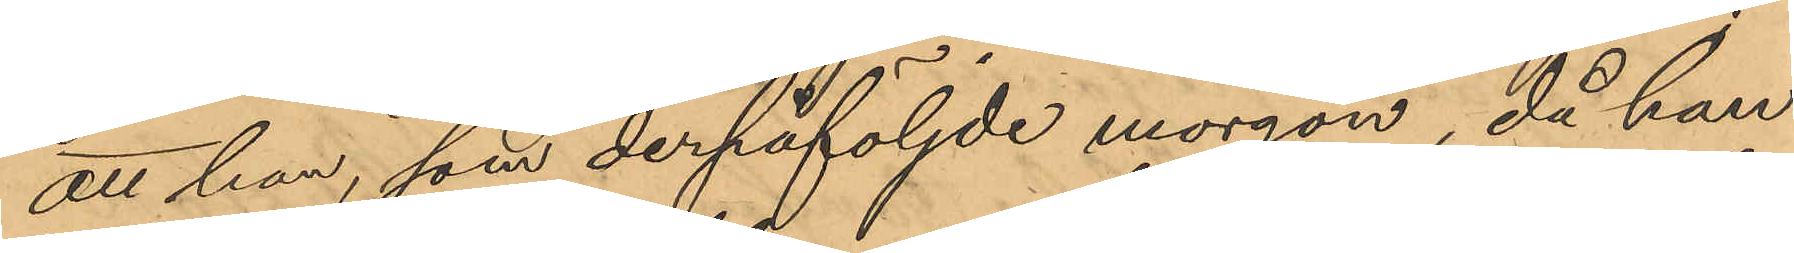att han, som derpåföljde morgon, då han
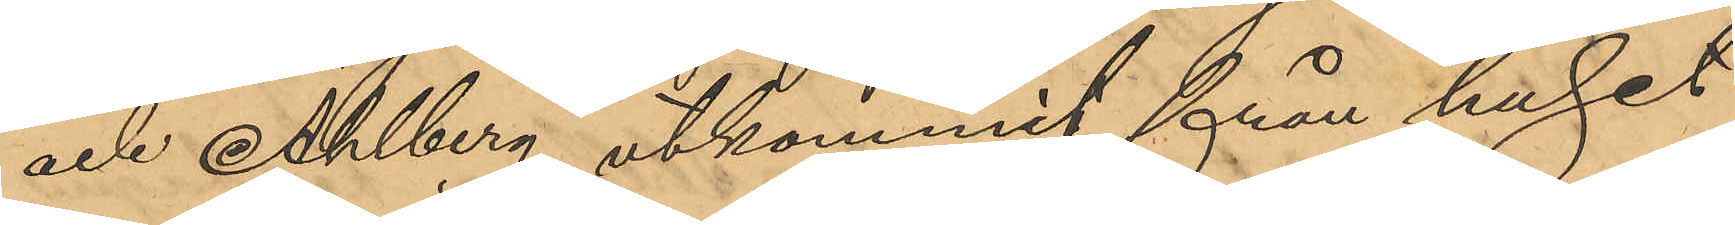och Ahlberg utkommit från huset
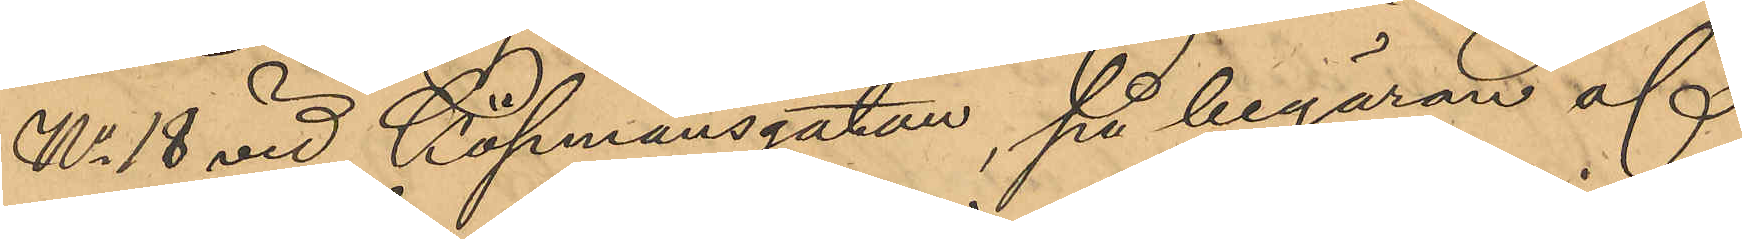No 18 vid Köpmansgatan, på begäran af
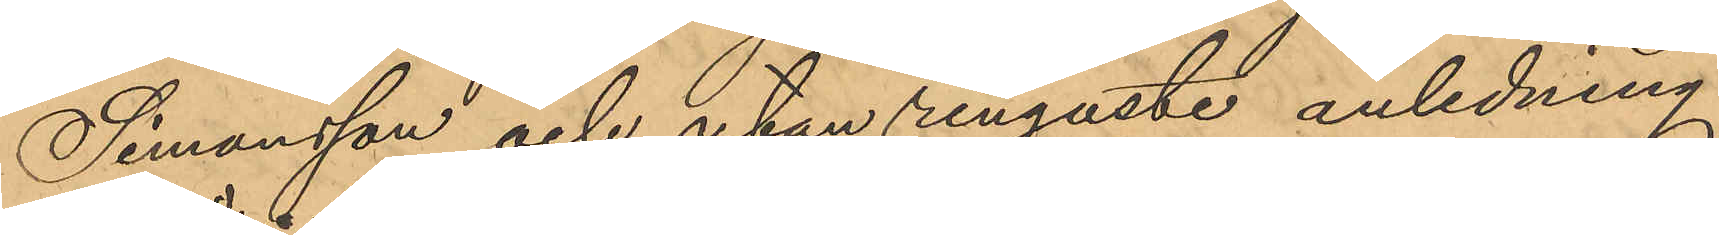Simonsson och utan ringaste anledning
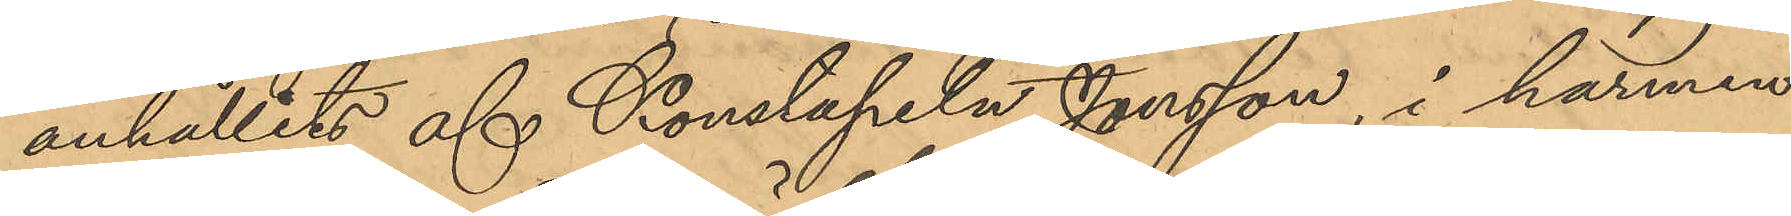anhållits af Konstapeln Jonsson, i harmen
